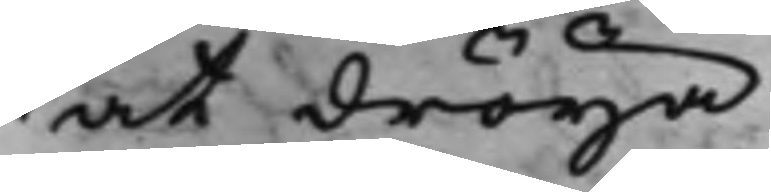at dröija.
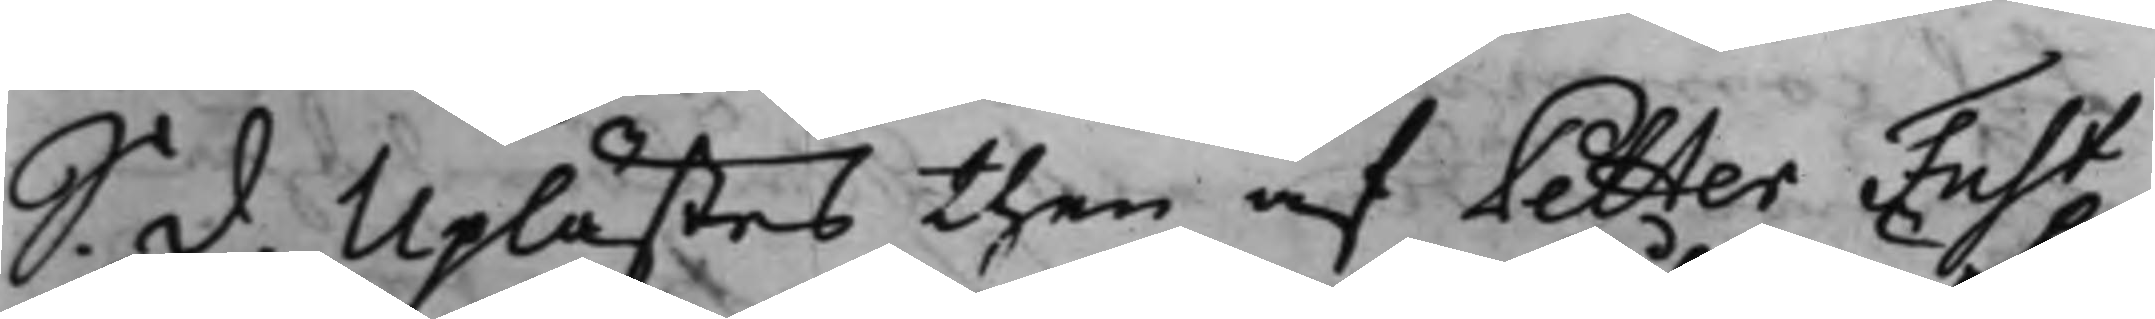S. d. Uplästes then afPetter Fust
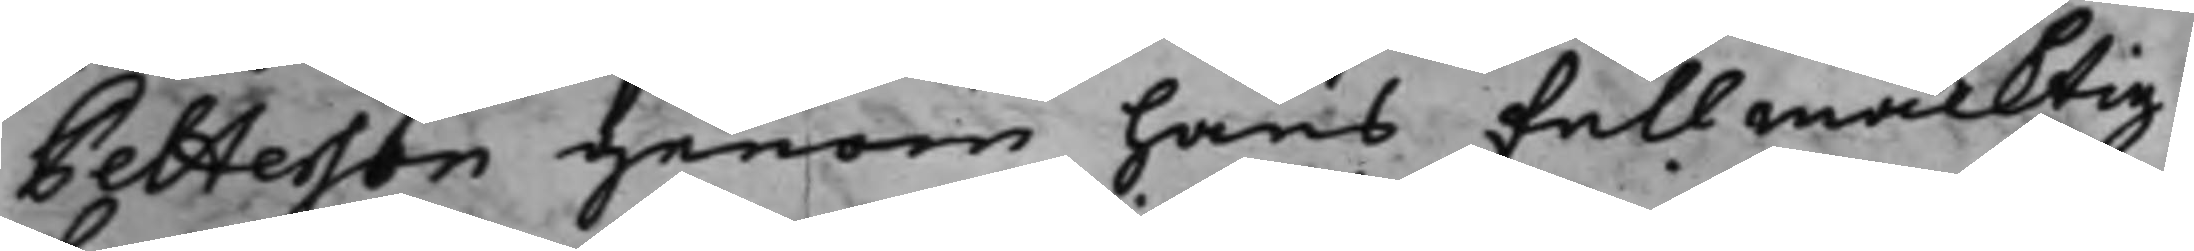Petterson genom hans Fullmäcktig
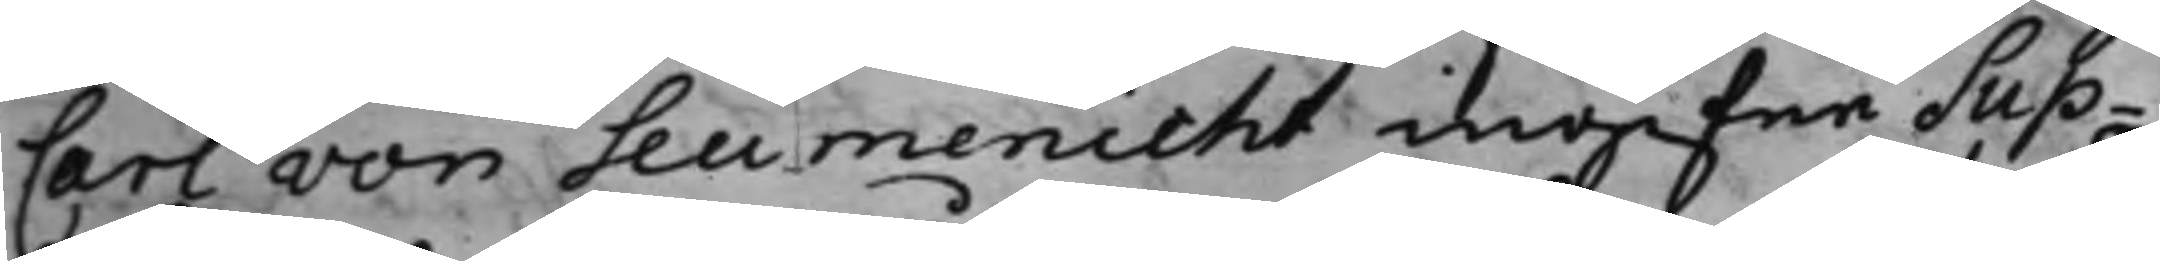Carl von Seumenicht ingifne Sup¬
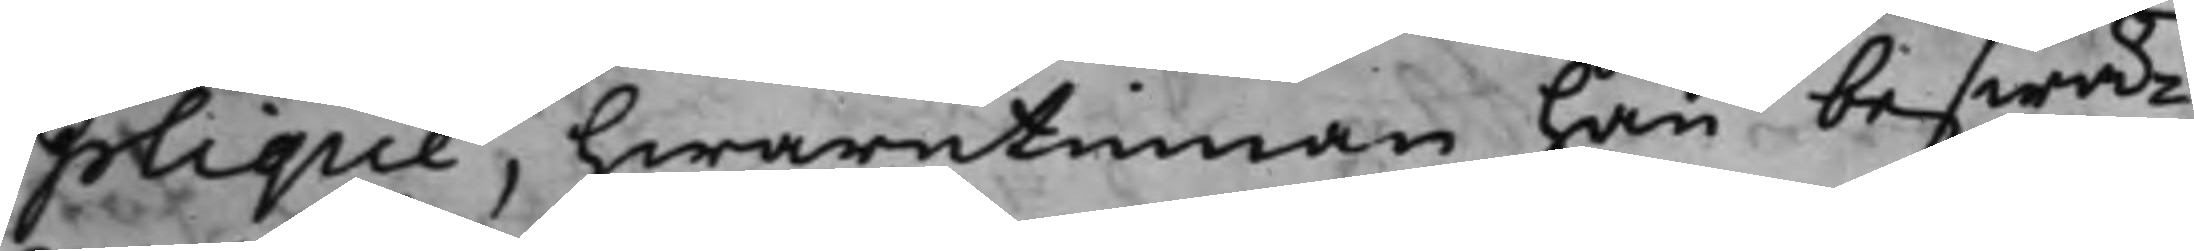plique, hwarutinnan han beswä¬
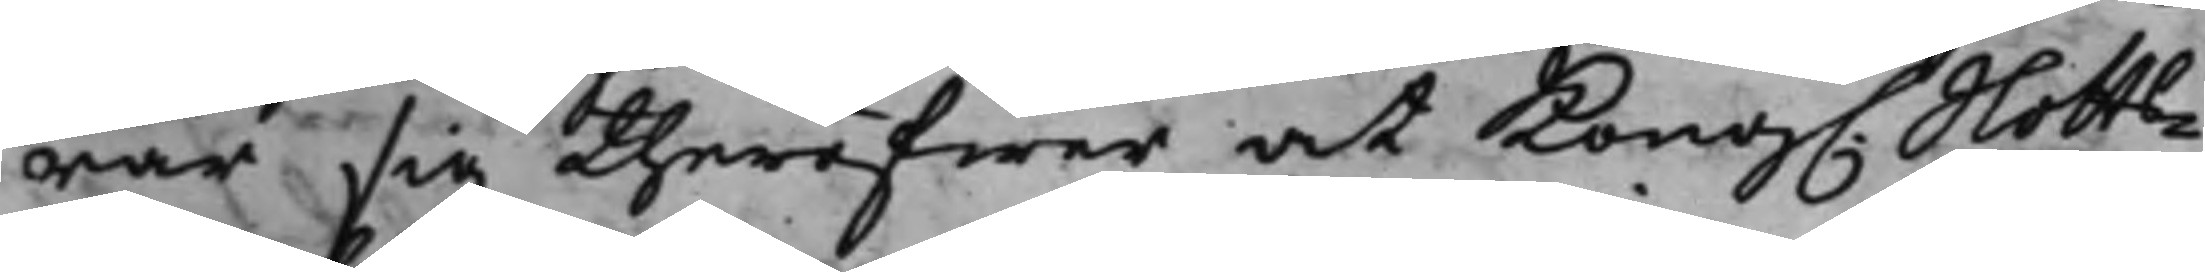rar sig theröfwer at Kong. Slotts¬
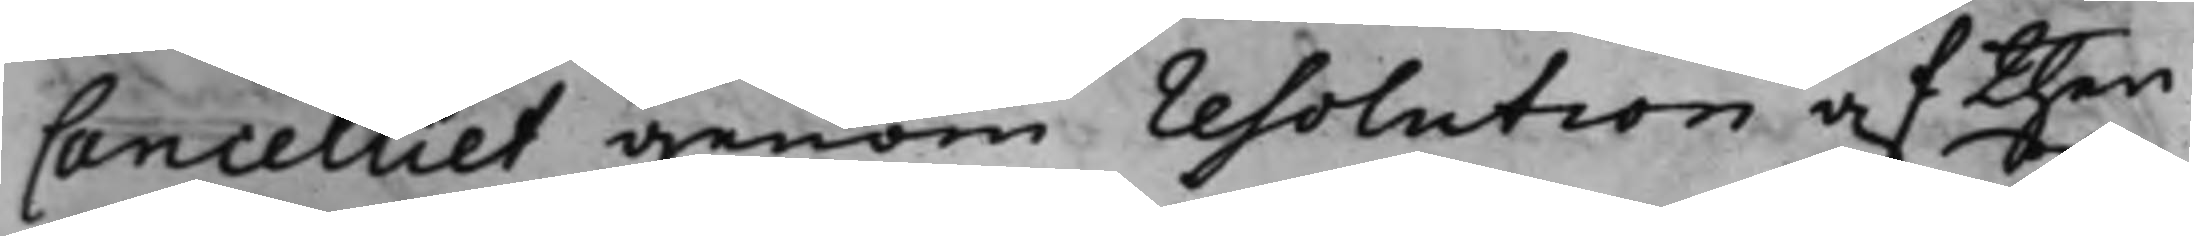Cancelliet genom resolution af then
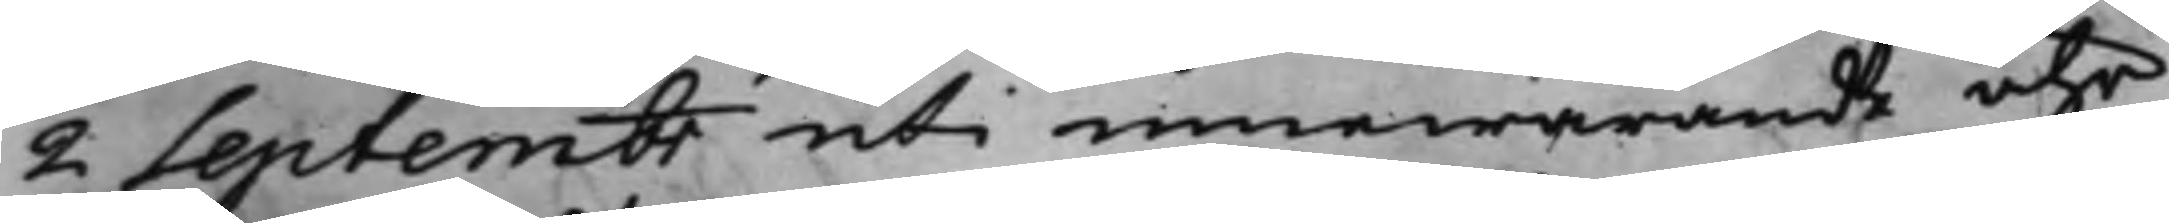2 Septembr uti innewarande åhr
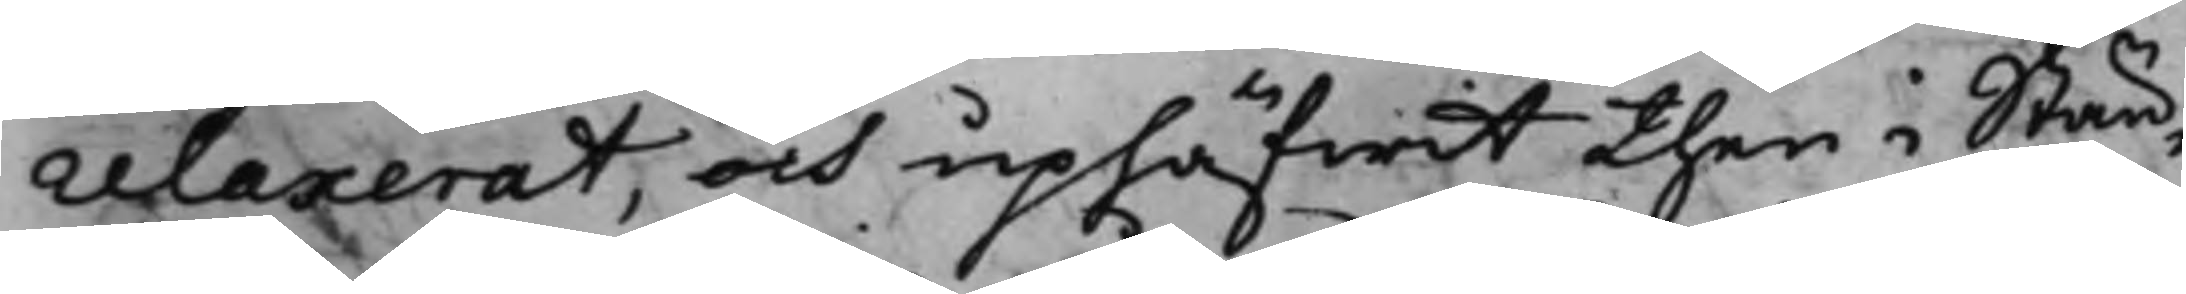relaxerat, och uphäfwit then i Stän¬
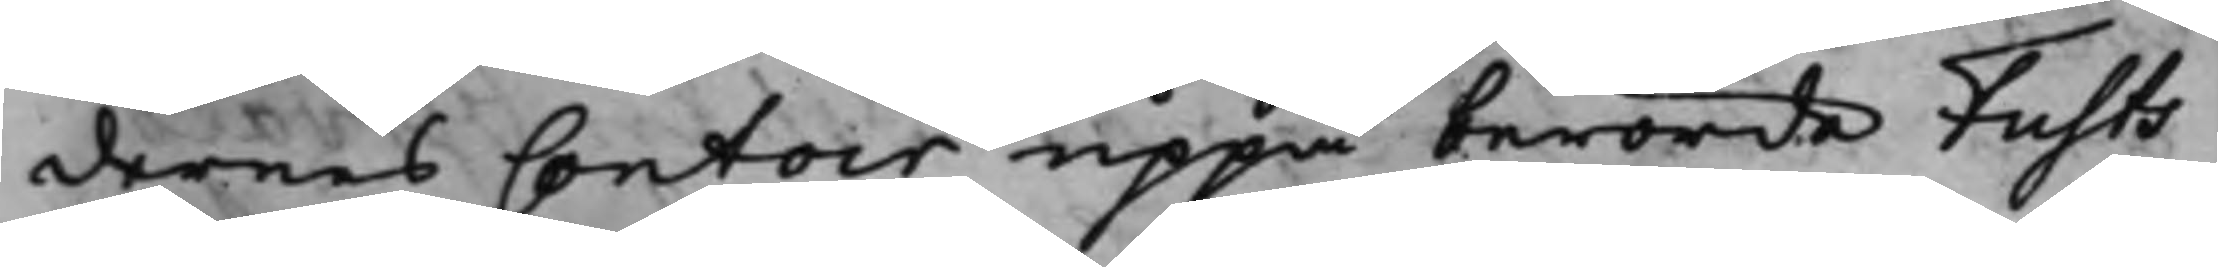dernes Contoir uppå berörde Fusts
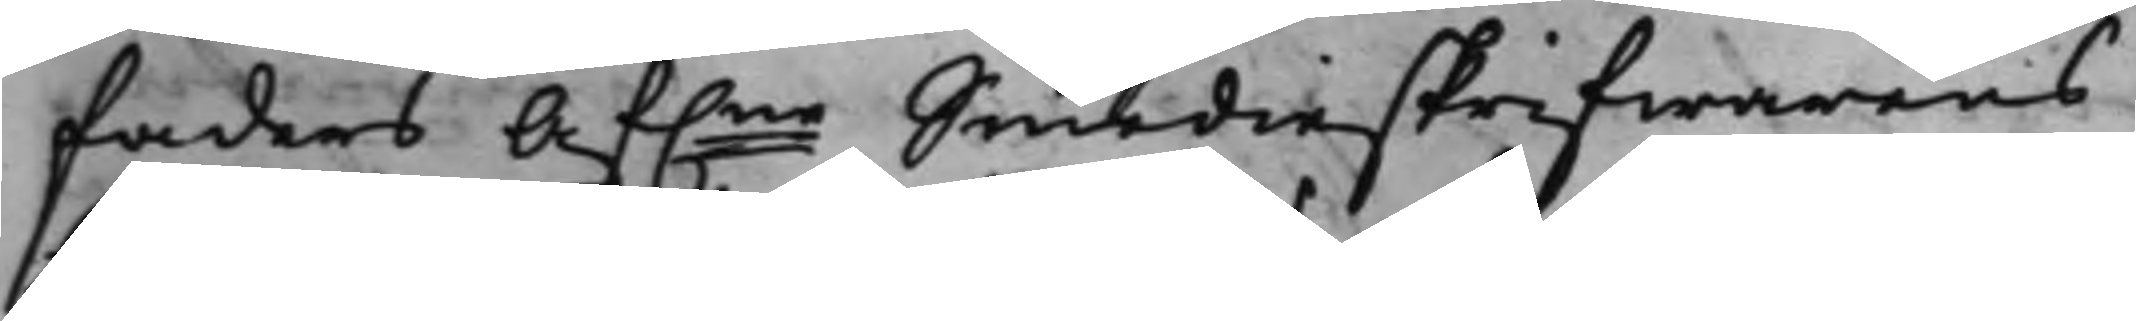faders Af.ne Smedieskrifwarens
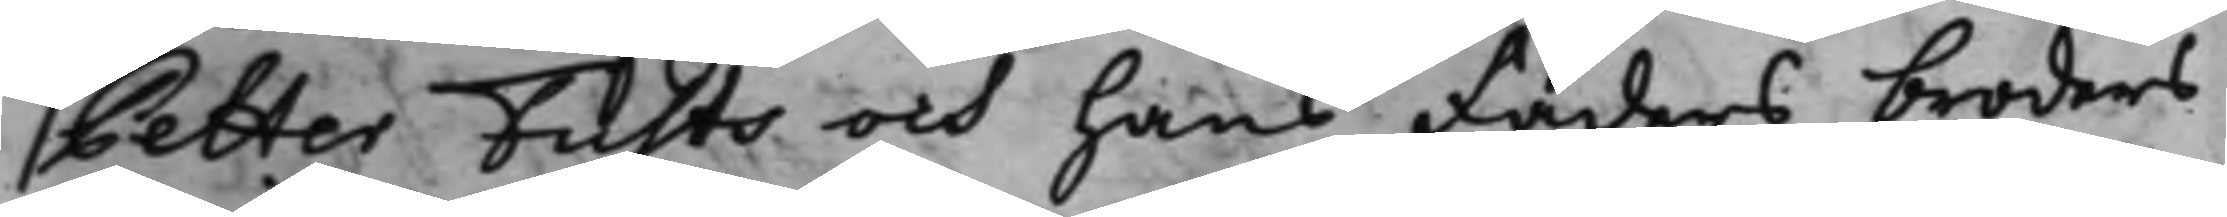Petter Fusts och hans faders broders
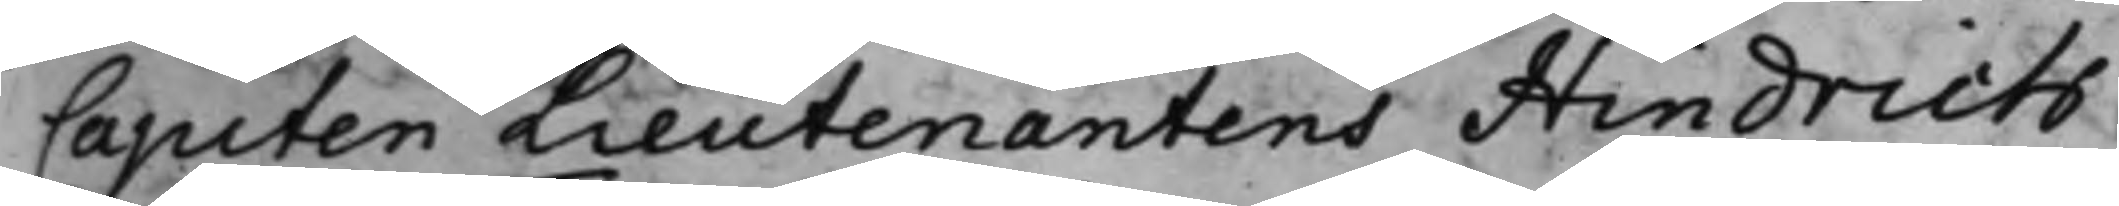Capiten Lieutenantens Hindrich
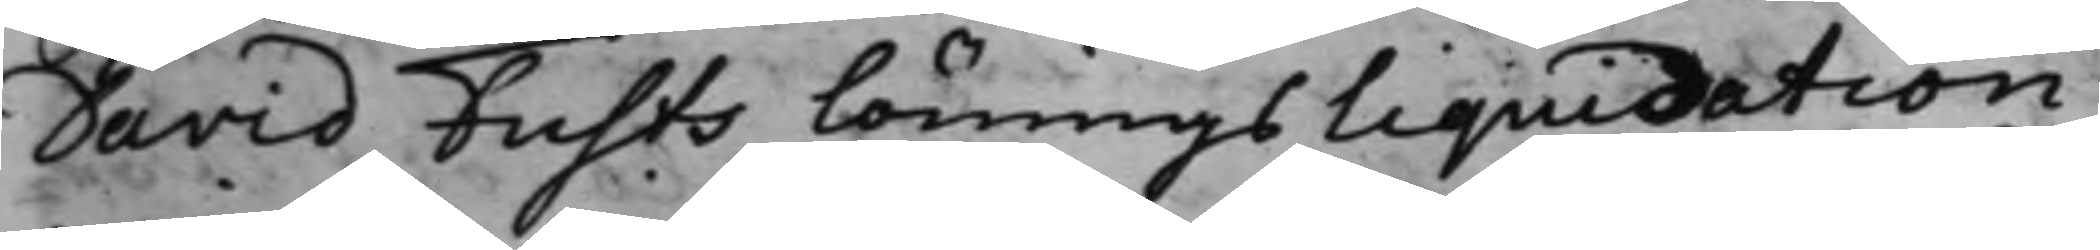David Fusts löningsliquidation
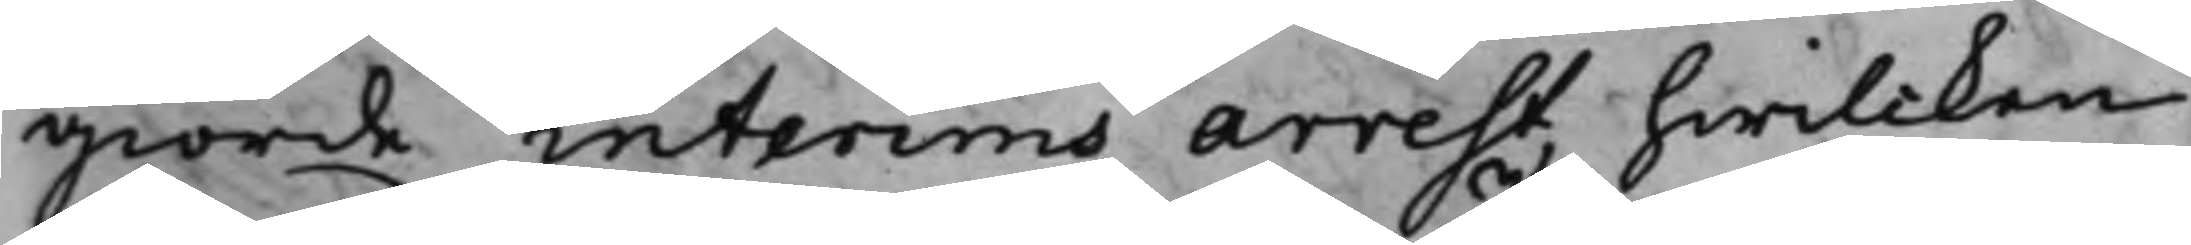giorde interims arrest, hwilcken
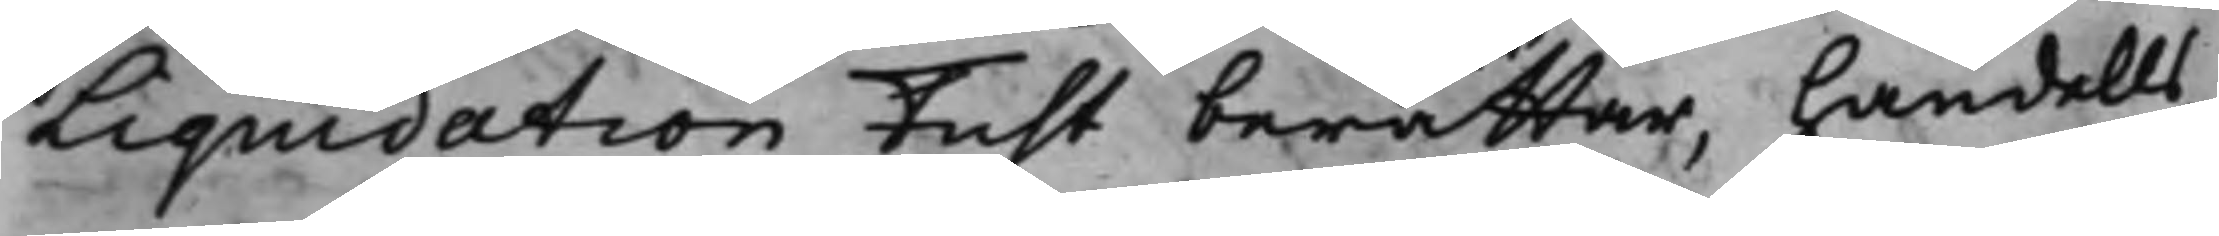Liquidation Fust berättar, handells¬
